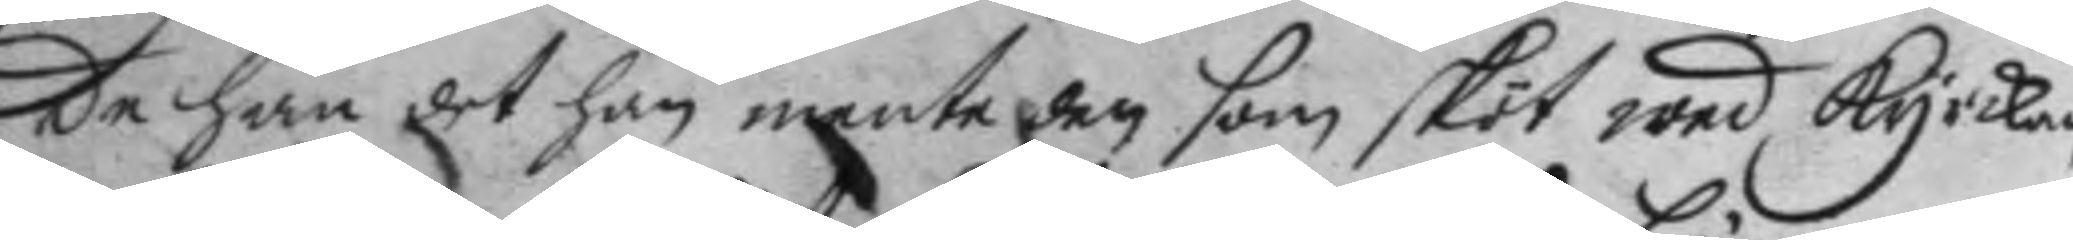de han det han mente den som sköt wed kyrckan,
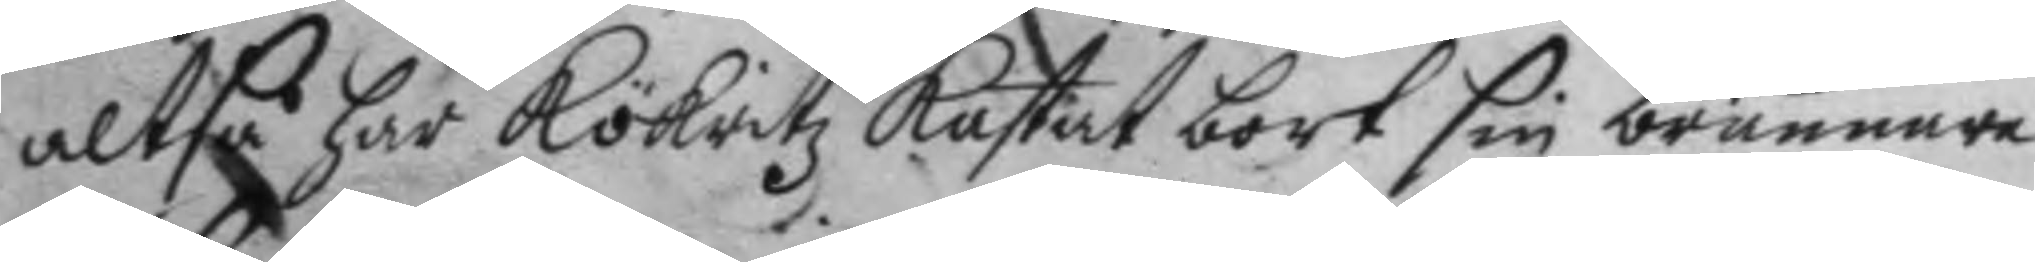altså har Kökritz kastat bort sin brännare
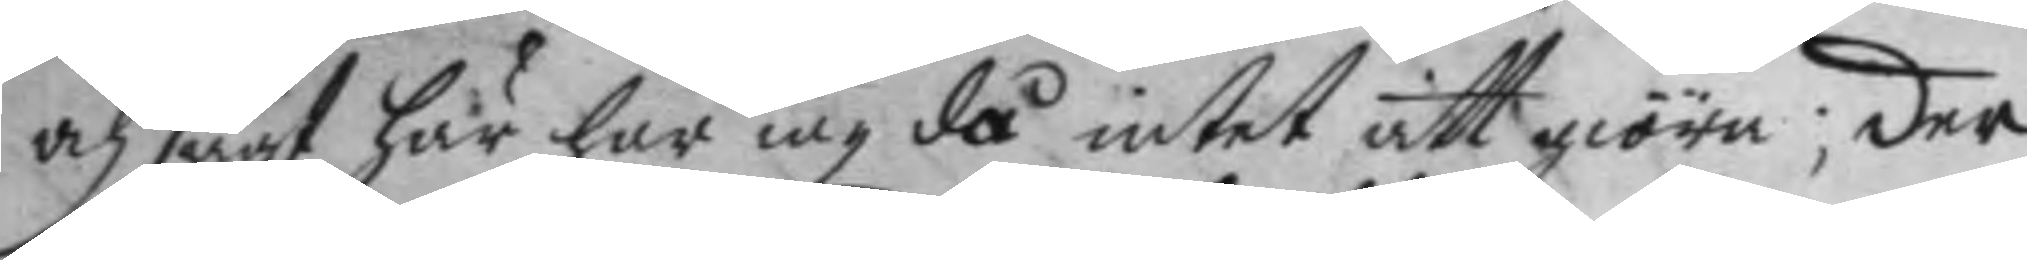och sagt här har iag då intet att giöra; der
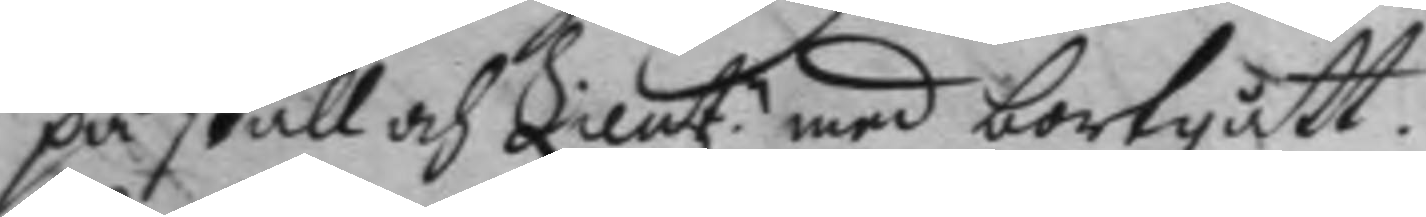på skall och Lieut.n med bortgått.
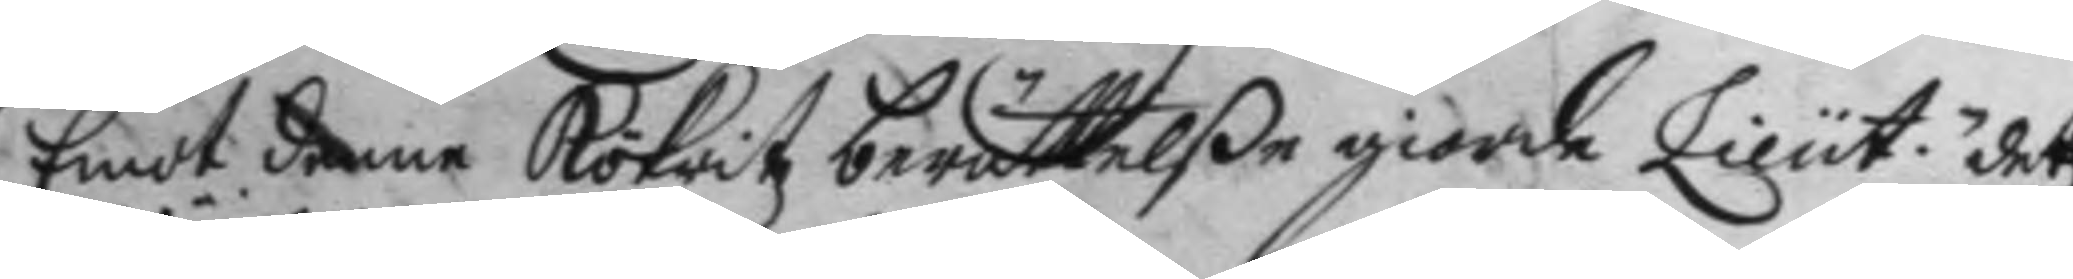Emot denne Kökritz berättelße giorde Lieut.n det
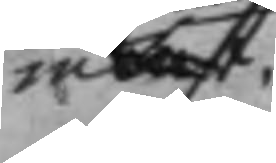in
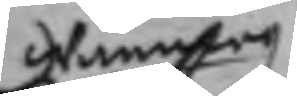wändning
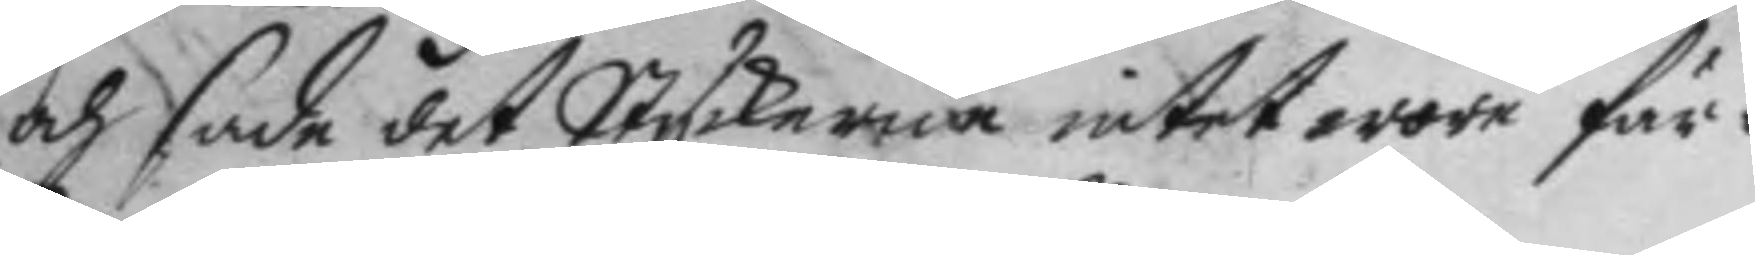och sade det Styckerna intet wore fär¬
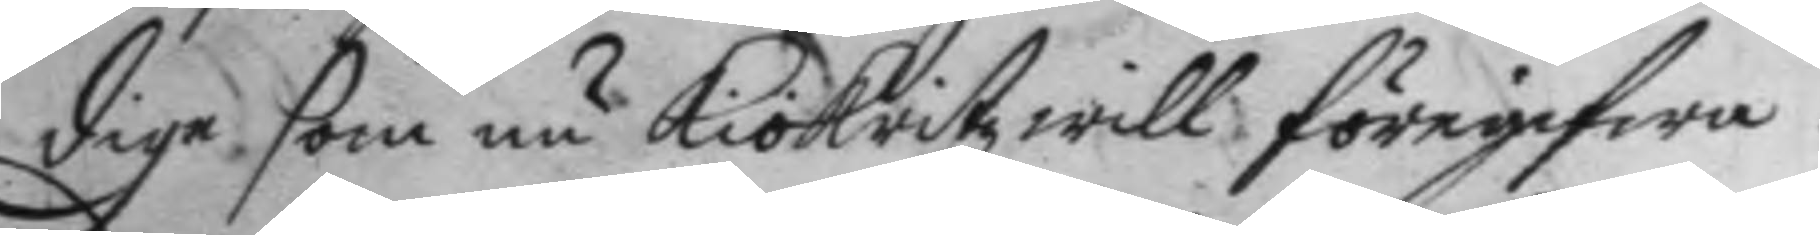dige som nu kökritz will föregifwa.
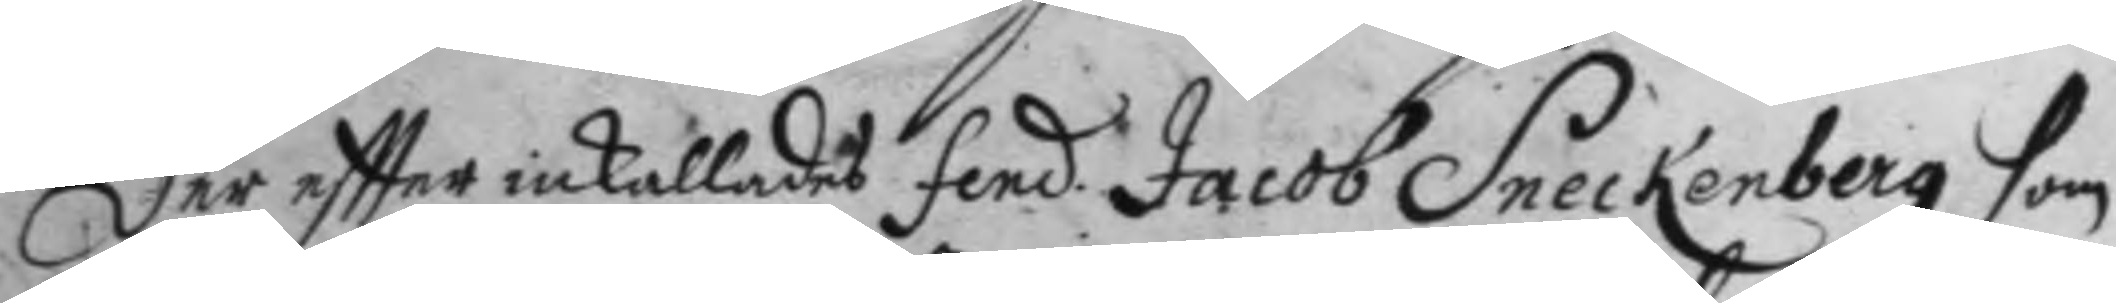Der eftter inkallades fend. Jacob Sneckenberg som
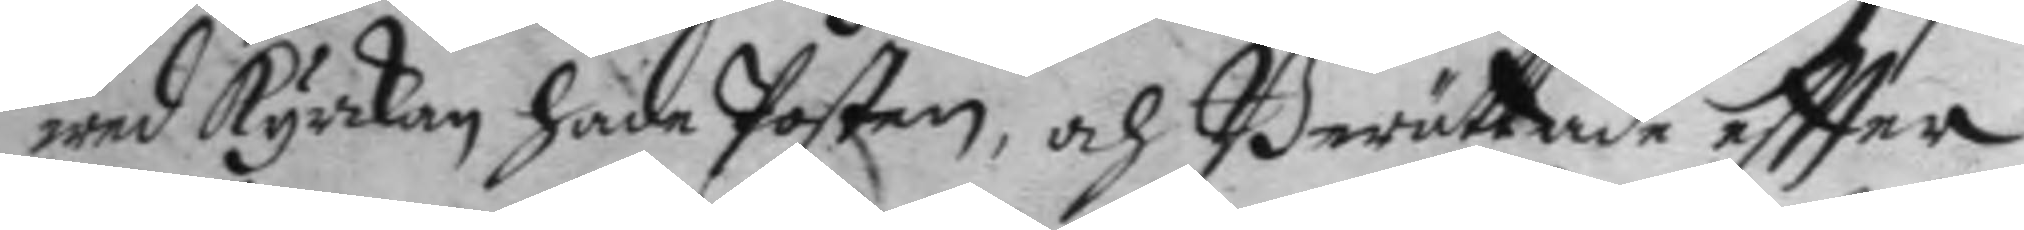wed kyrkan hade Posten, och Berättade eftter
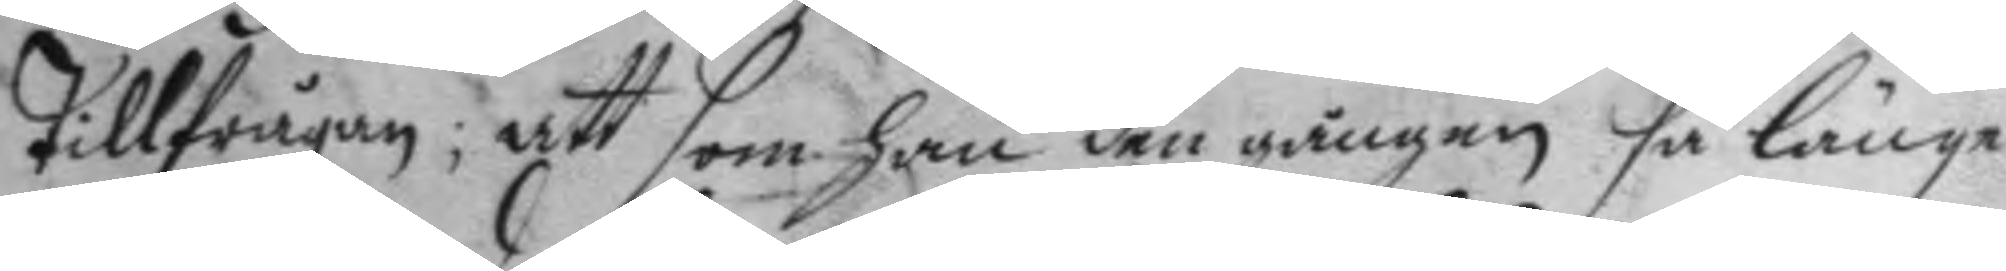tillfrågan; att som han den gången så länge
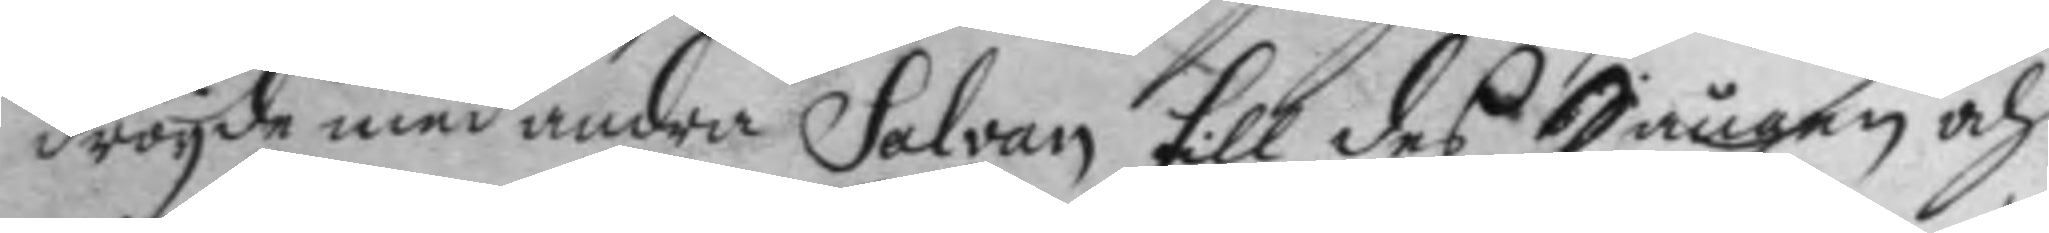dröyde med andra Salvan till des Sången och
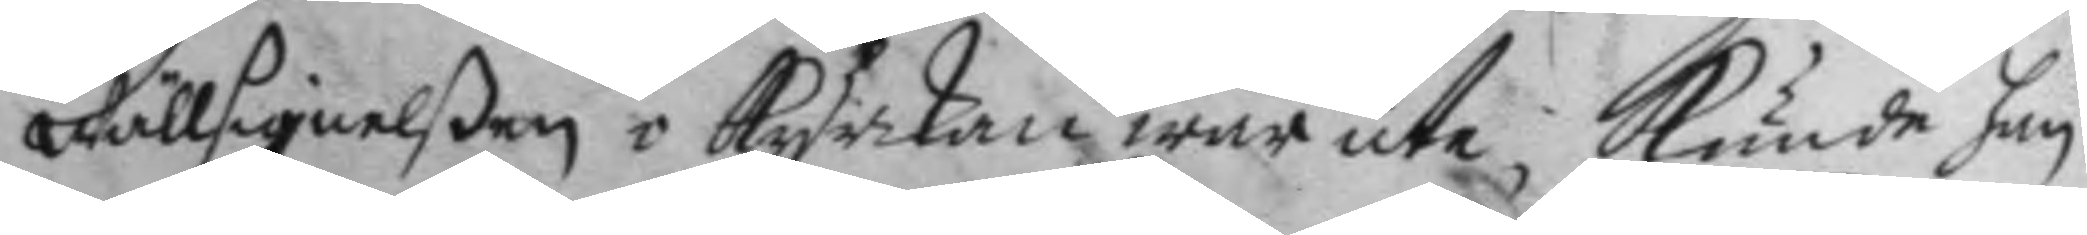Wällsignelßen i kyrkan war ute kunde han
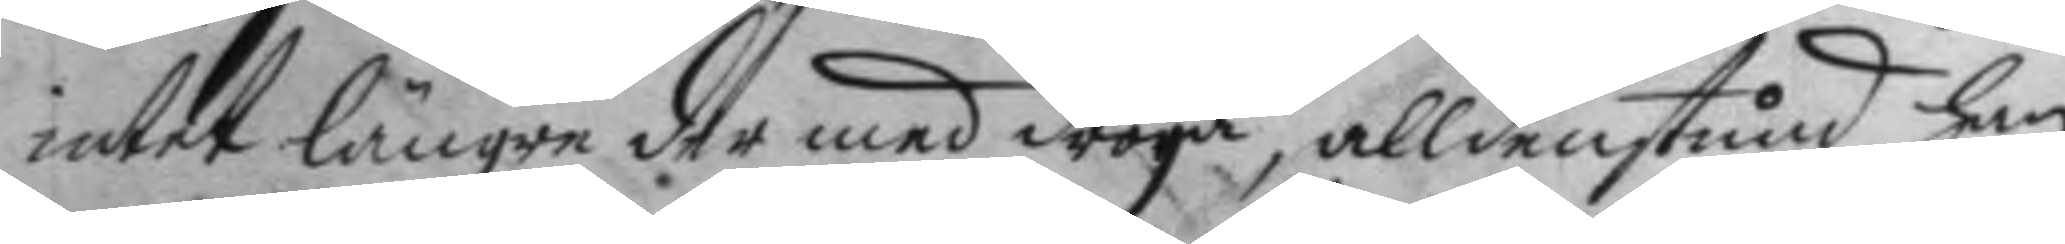intet längre der med dröya, alldenstund han
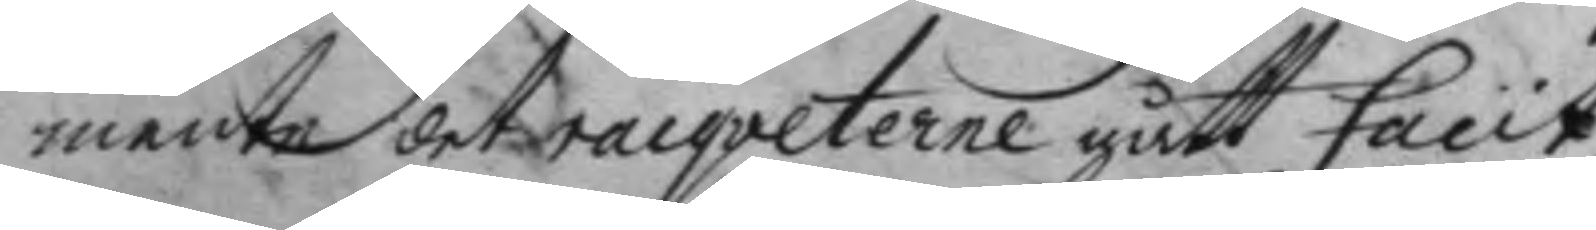mente det racqveterne gått facit,
